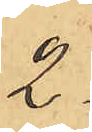2.
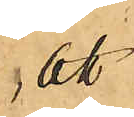att
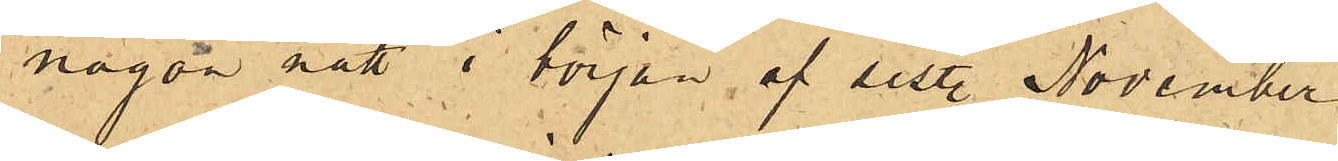någon natt i början af sist. November
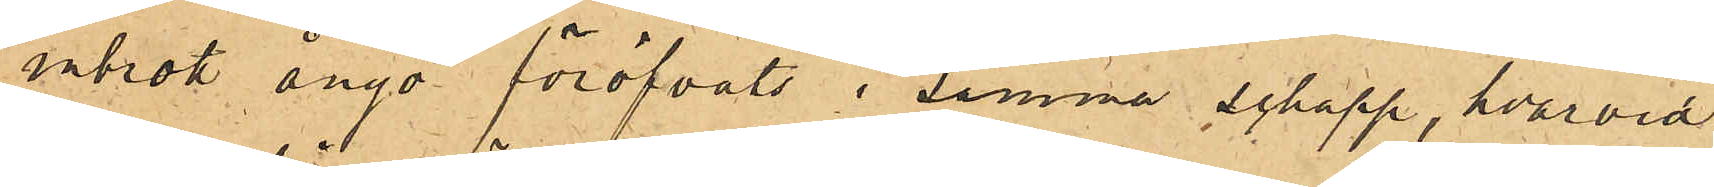inbrott ånyo föröfvats i samma schapp, hvarvid
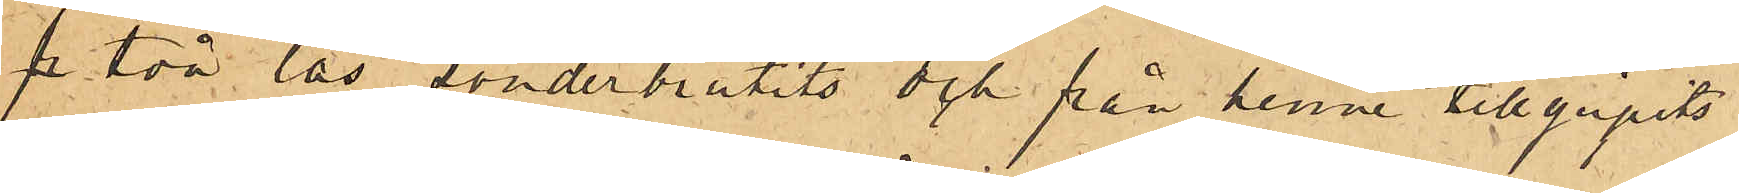p två lås sönderbrutits och från henne tillgripits
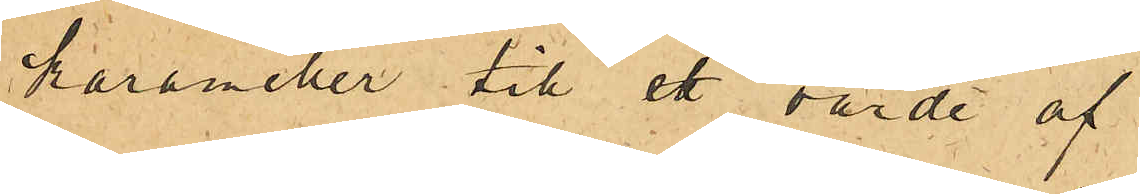karameller till ett värde af
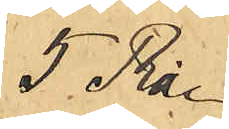5 Rdr.
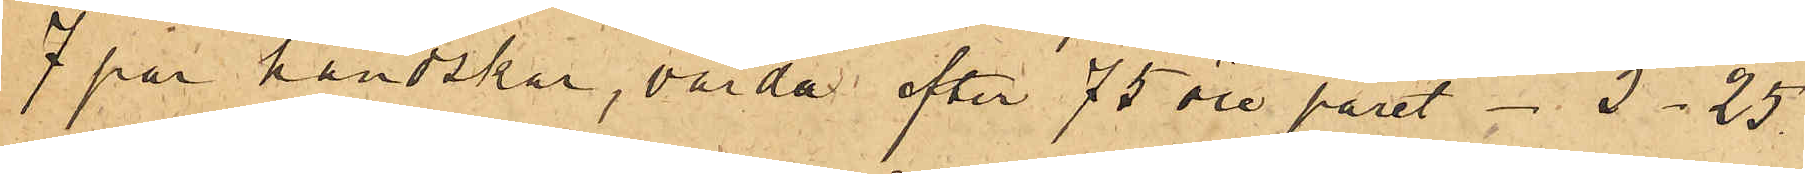7 par handskar, värde efter 75 öre paret  5.25
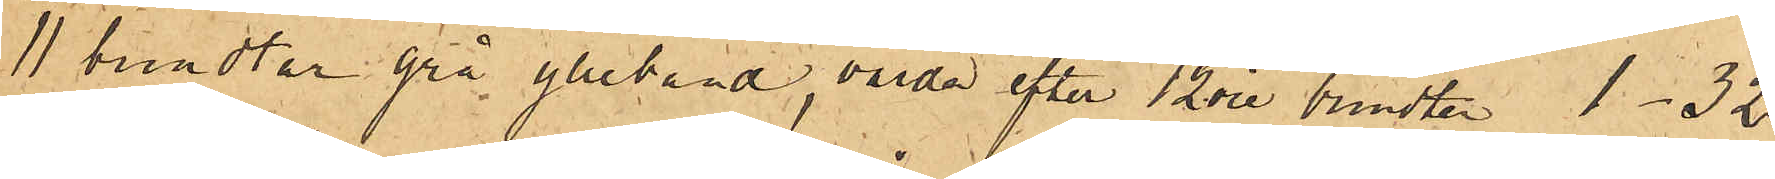11 bundtar grå ylleband, värde efter 12 öre bundten 1.32
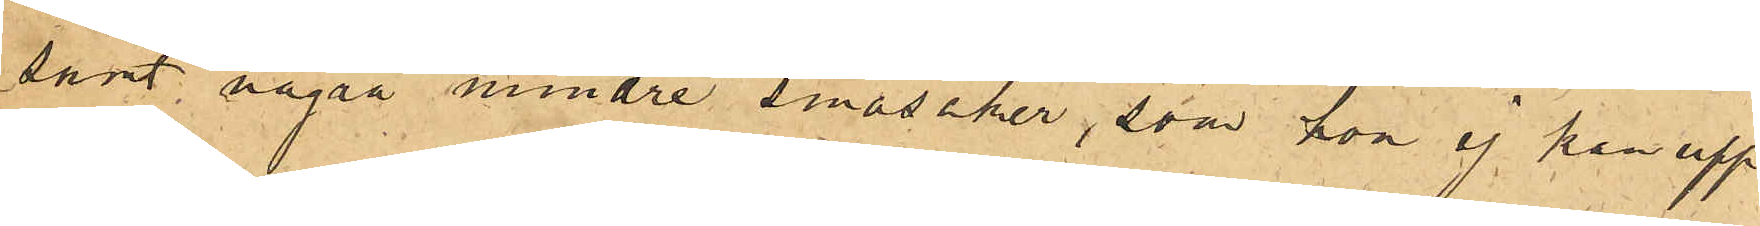samt några mindre småsaker, som hon ej kan upp¬
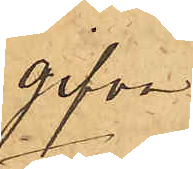gifva
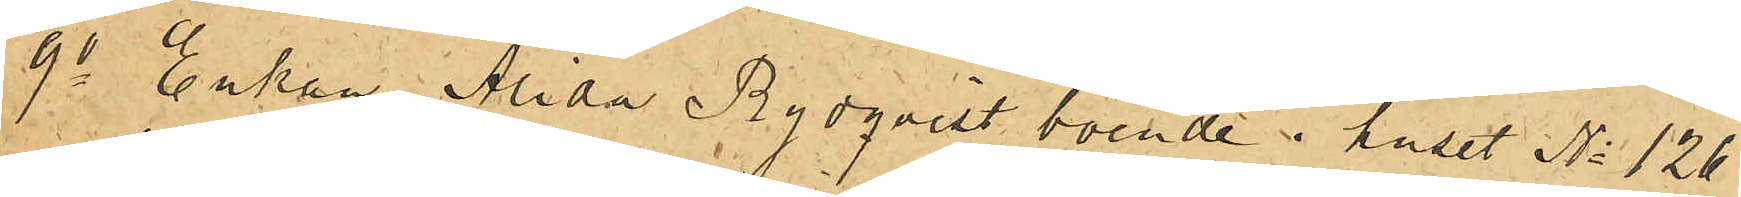9o Enkan Alida Rydqvist boende i huset No 126
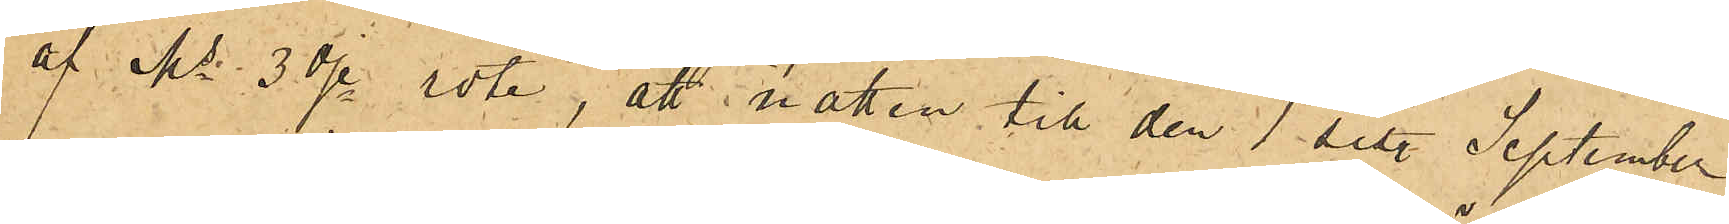af Ms 3dje rote, att natten till den 1 sist. September
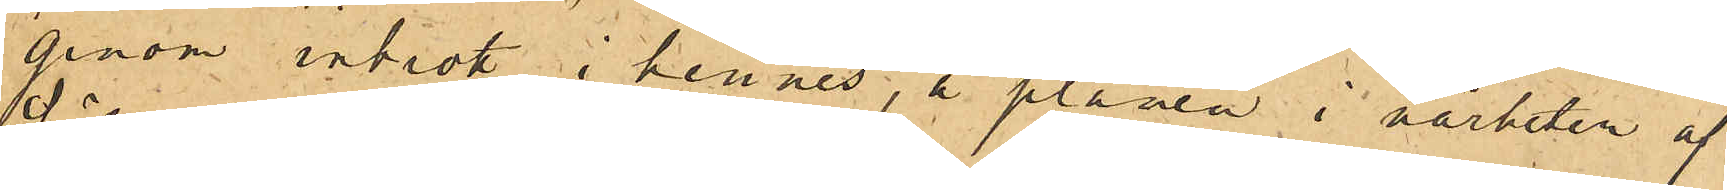genom inbrott i hennes, å planen i närheten af
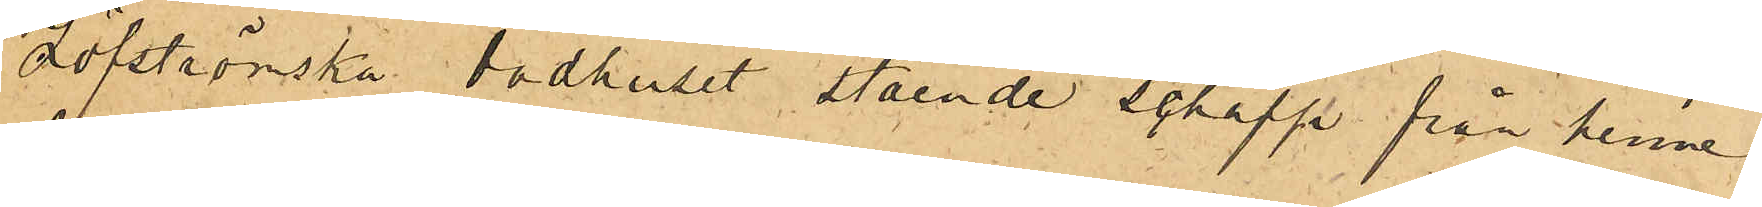Löfströmska badhuset stående schapp från henne
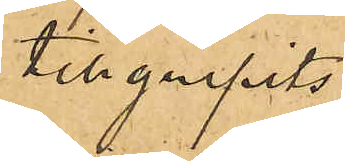tillgripits
